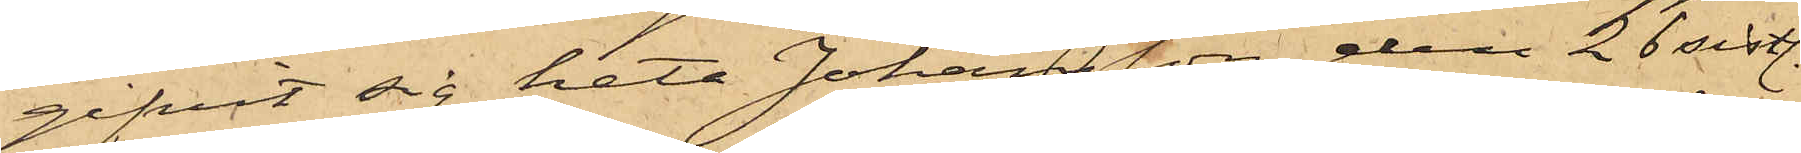gifvit sig heta Johansson, den 26 sistl.
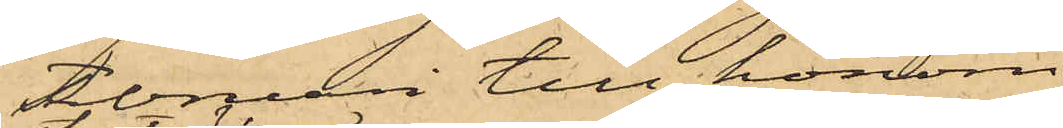Februari till honom
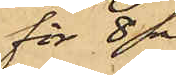för 8 r
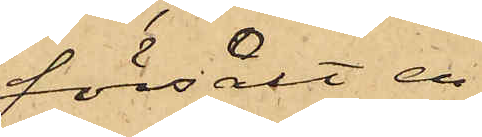försålt en
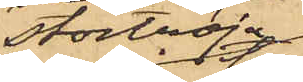stortröja,
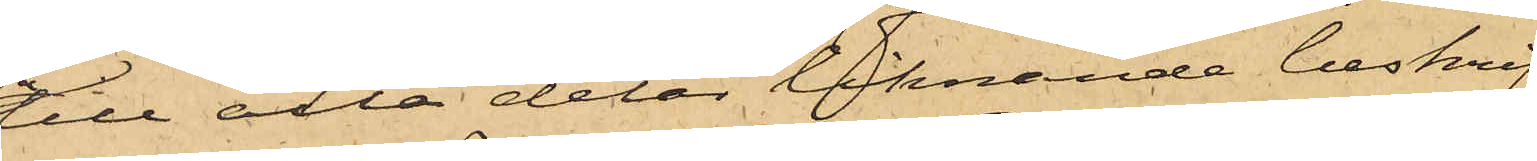till alla delar liknande beskrif¬
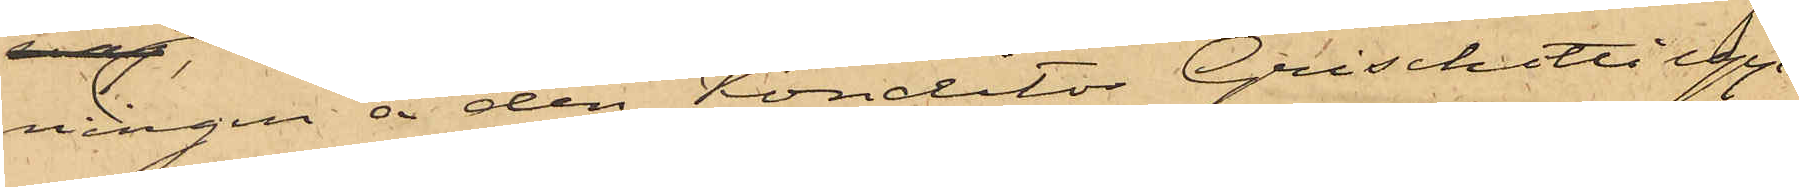ningen å den Konditor Grischotti upp¬
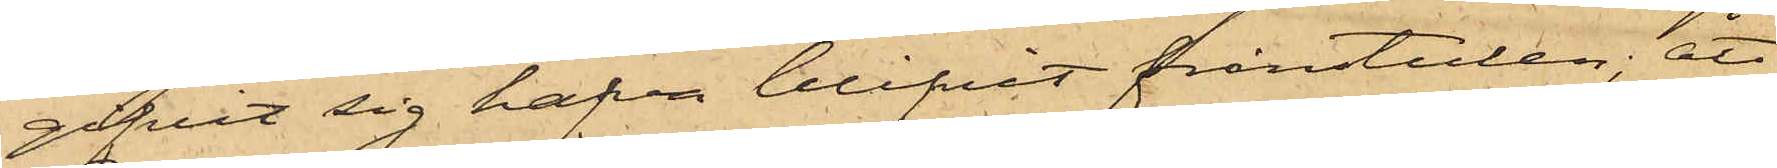gifvit sig hafva blifvit frånstulen; att
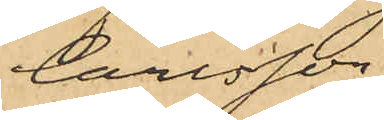Carlsson
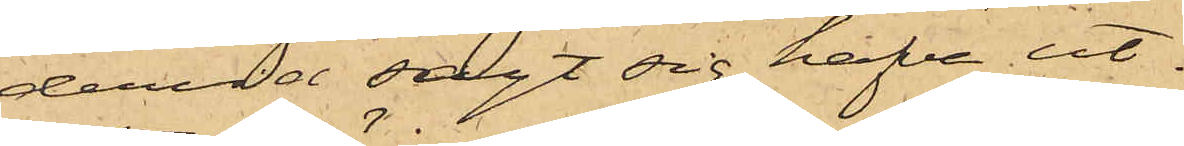dervid sagt sig hafva ut¬
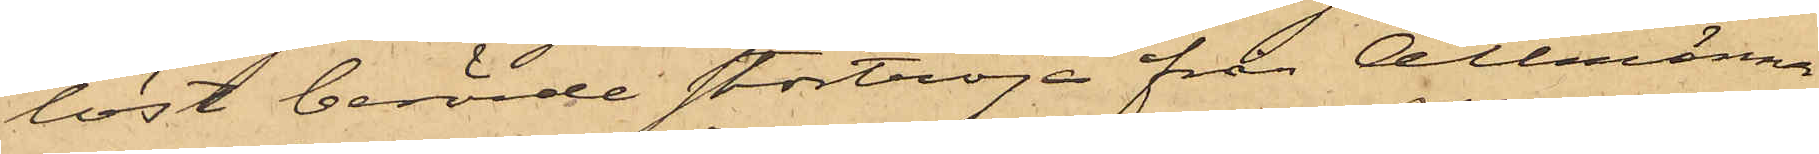låst berörde stortröja från Allmänna
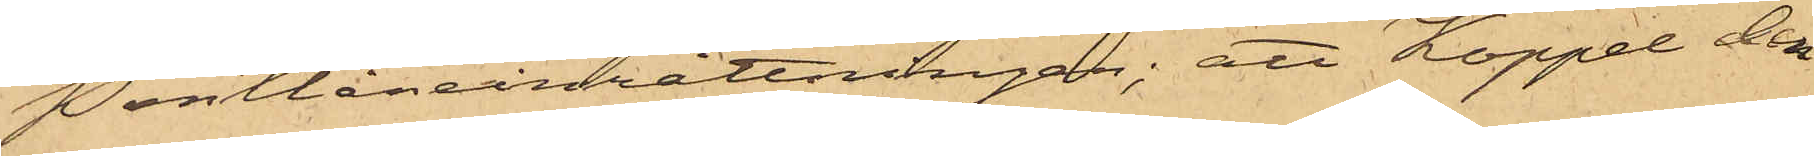Pantlåneinrättningen; att Koppel den
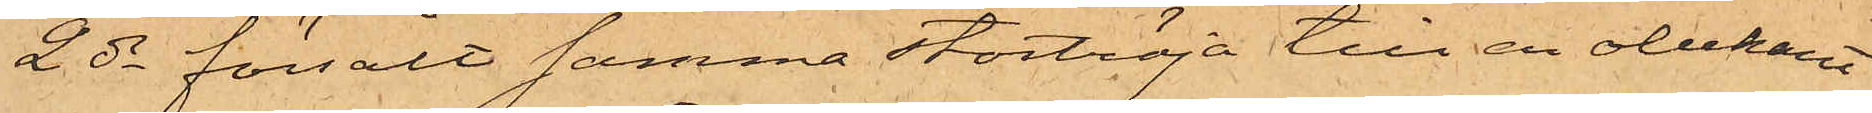2 ds försålt samma stortröja till en obekant
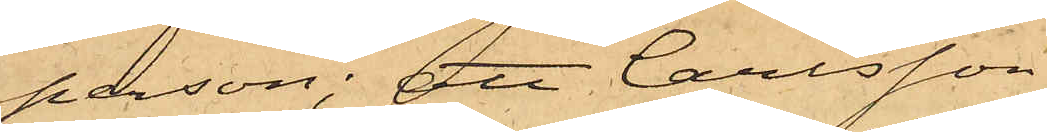person; att Carlsson
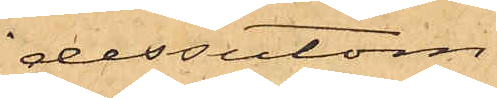dessutom
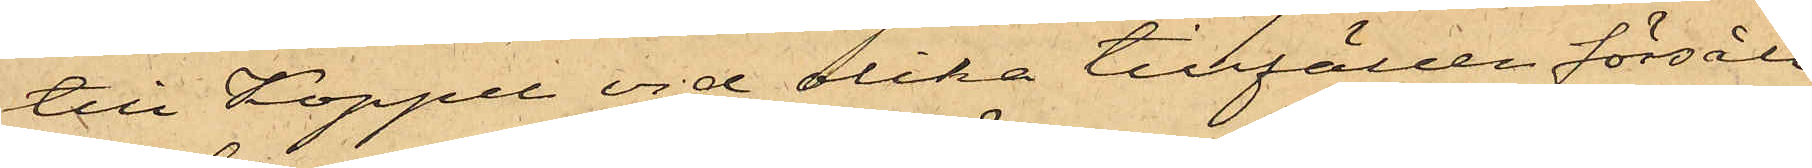till Koppel vid olika tillfällen försålt
